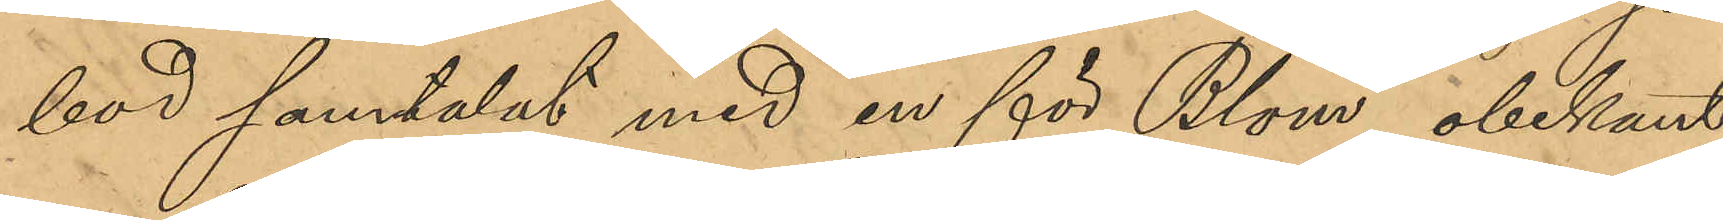hus samtalat med en för Blom obekant
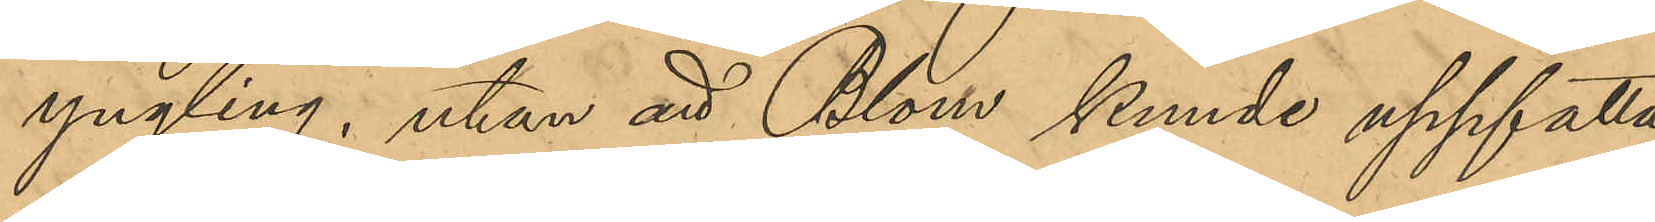yngling, utan att Blom kunde uppfatta
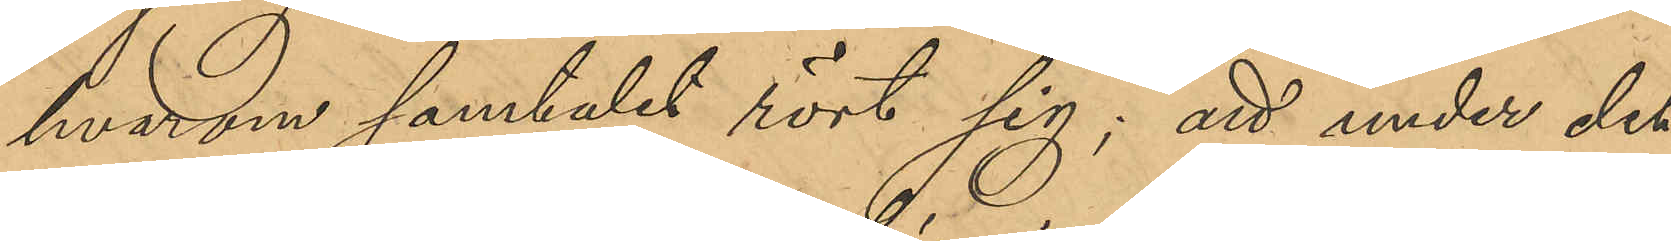hvarom samtalet rört sig; att under det
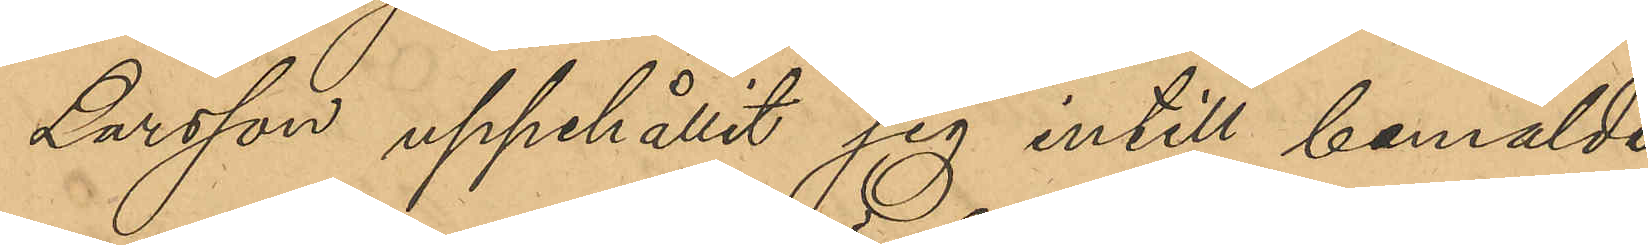Larsson uppehållit sig intill bemälde
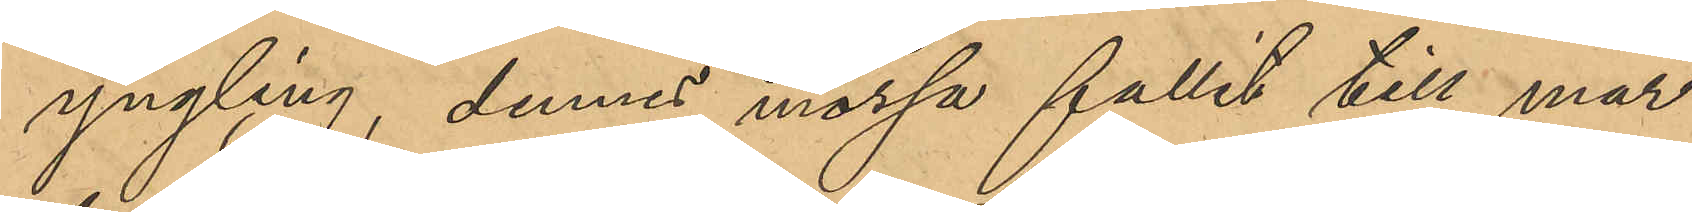yngling, dennes mössa fallit till mar¬
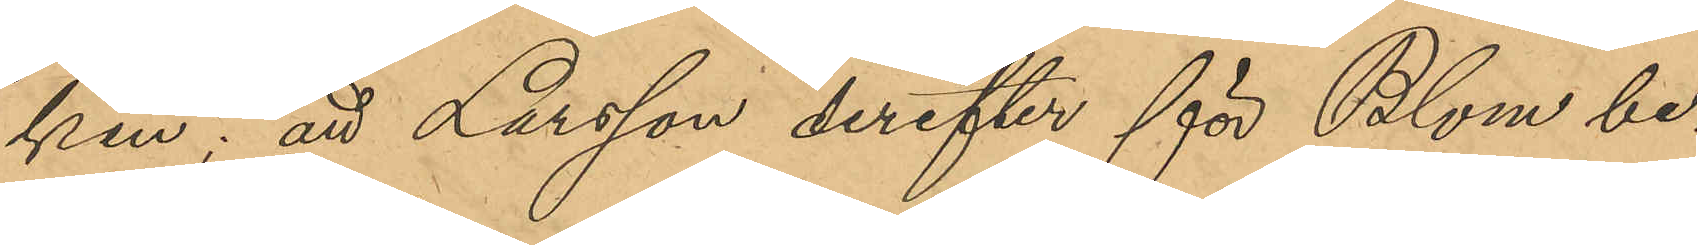ken; att Larsson derefter för Blom be¬
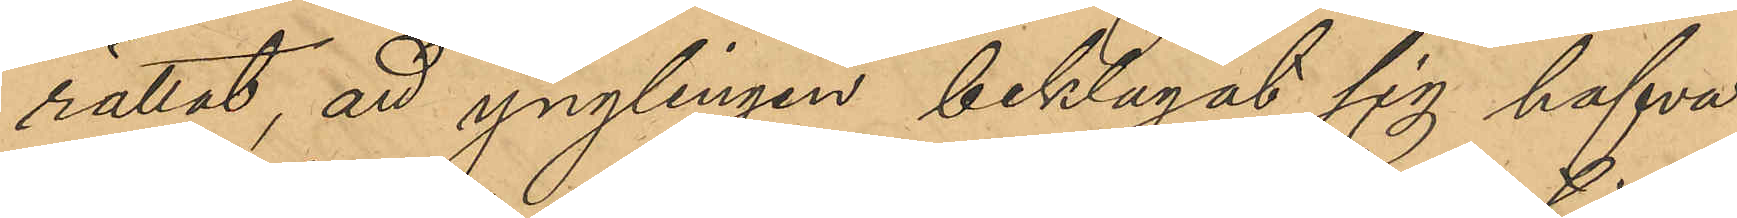rättat, att ynglingen beklagat sig hafva
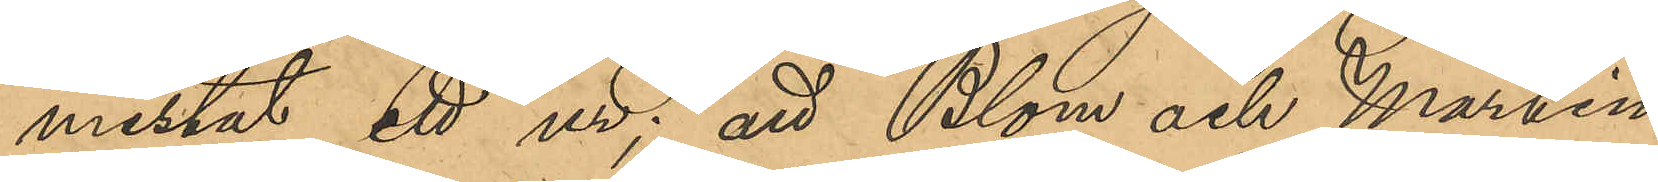mistat ett ur; att Blom och Martin
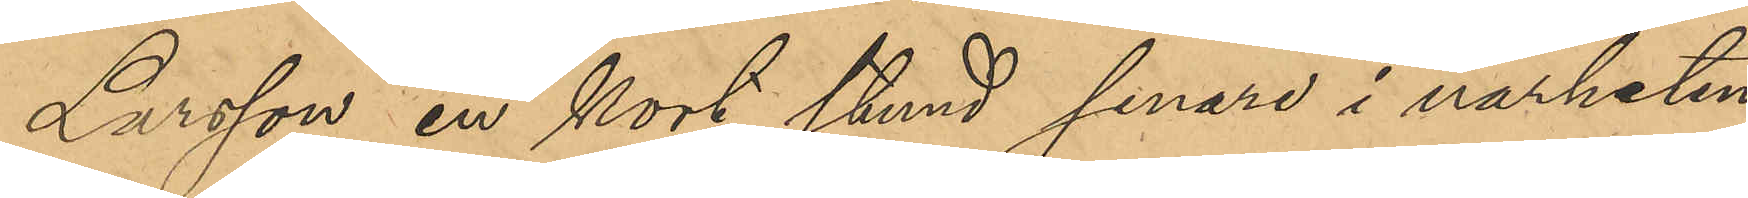Larsson en kort stund senare i närheten
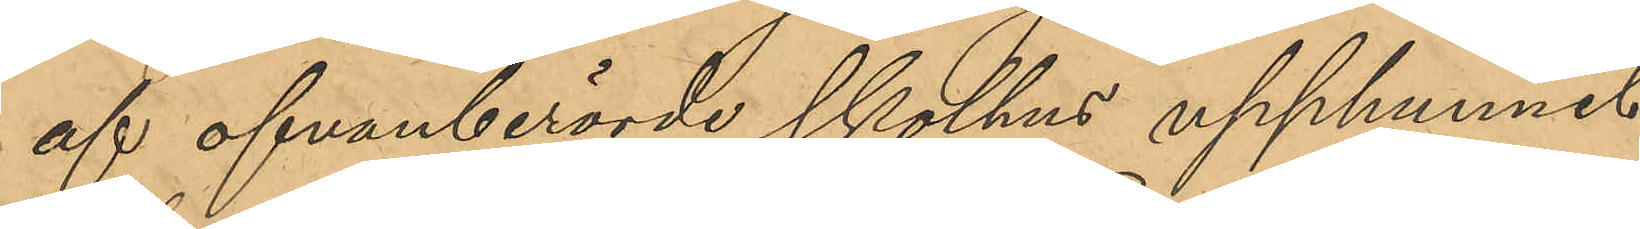af ofvanberörde skolhus upphunnit
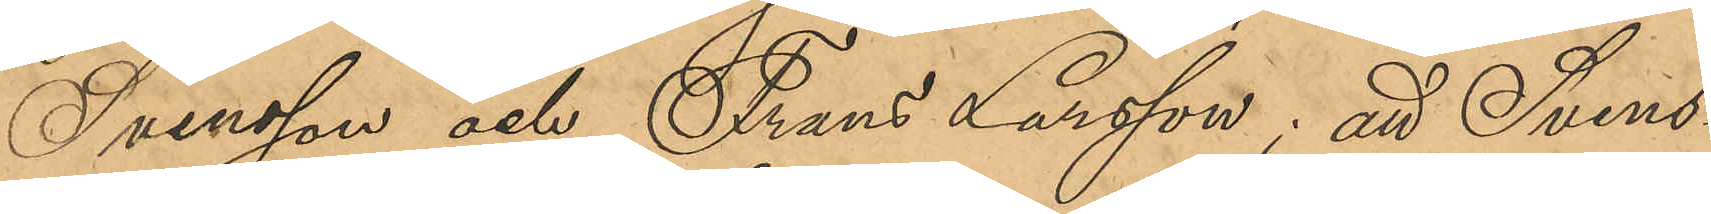Svensson och Frans Larsson; att Svens¬
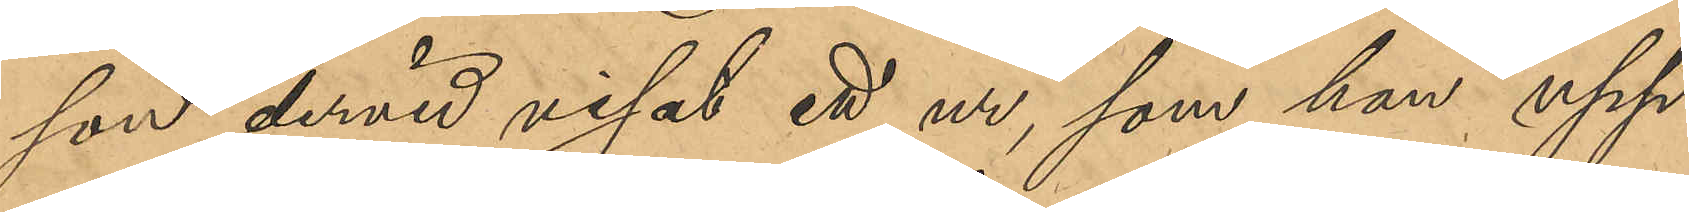son dervid visat ett ur, som han upp¬
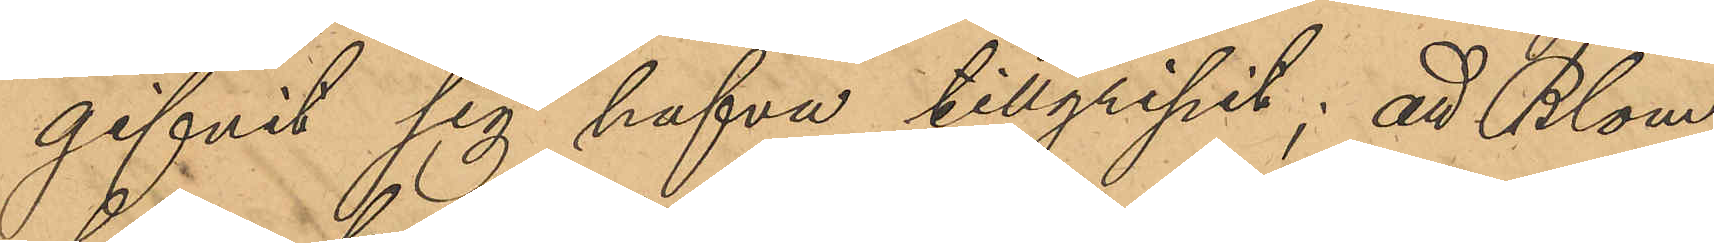gifvit sig hafva tillgripit; att Blom,
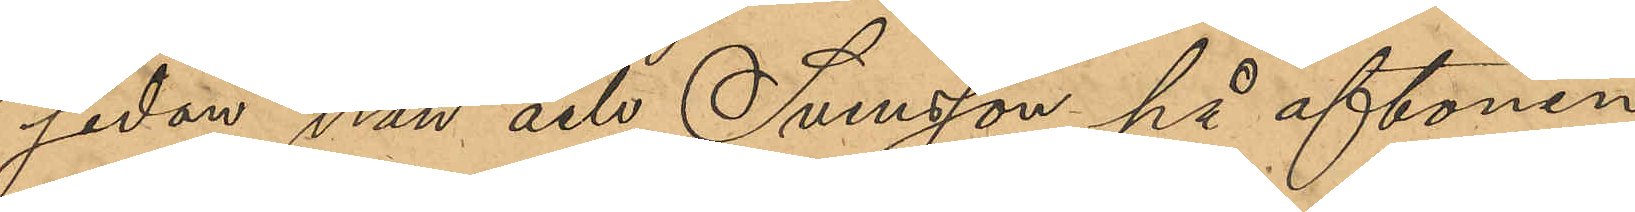sedan han och Svensson på aftonen
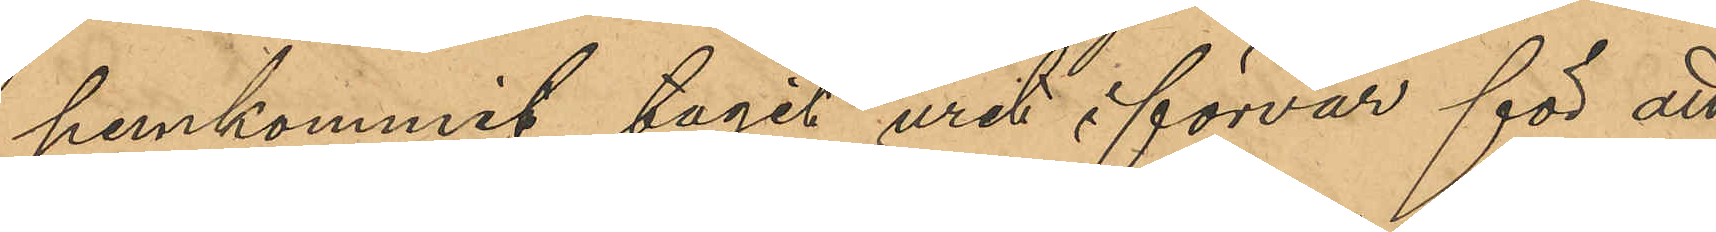hemkommit tagit uret i förvar för att
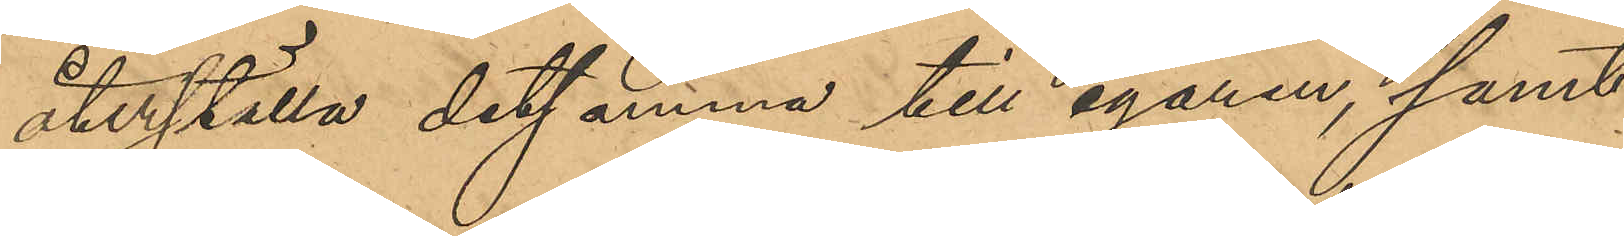återställa detsamma till egaren, samt
